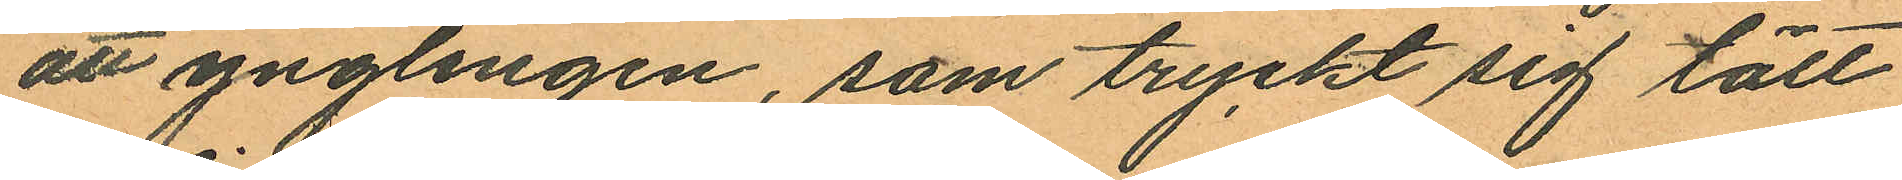att ynglingen, som tryckt sig tätt
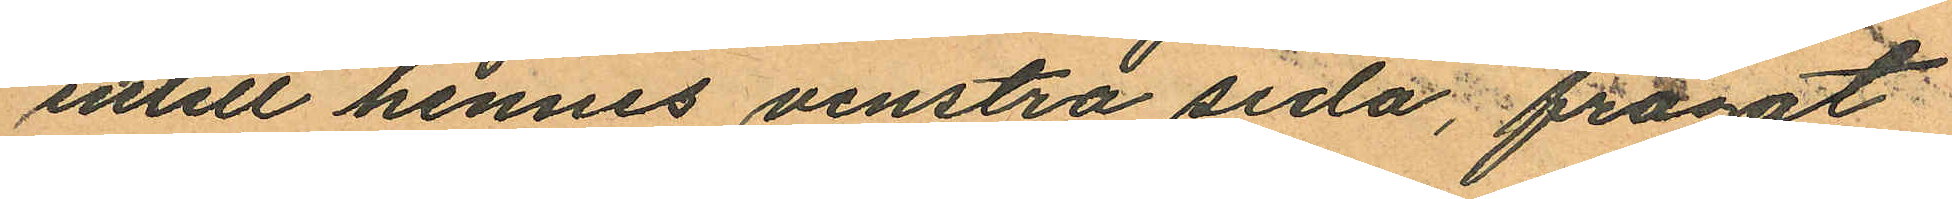intill hennes venstra sida, frågat
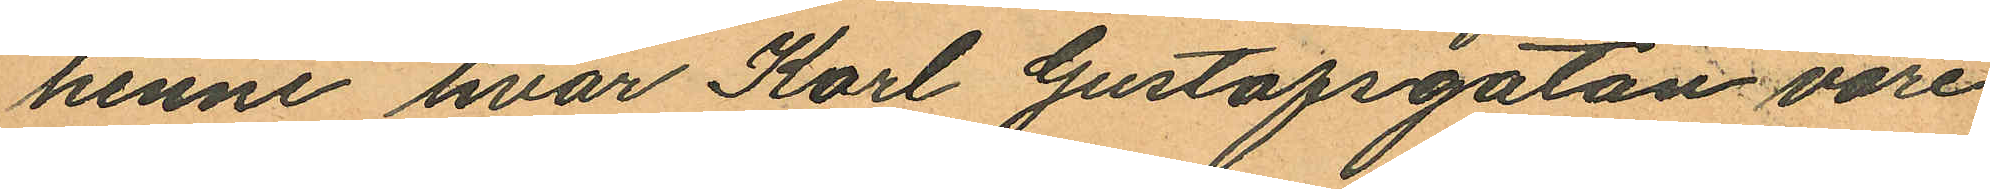henne hvar Karl Gustafsgatan vore
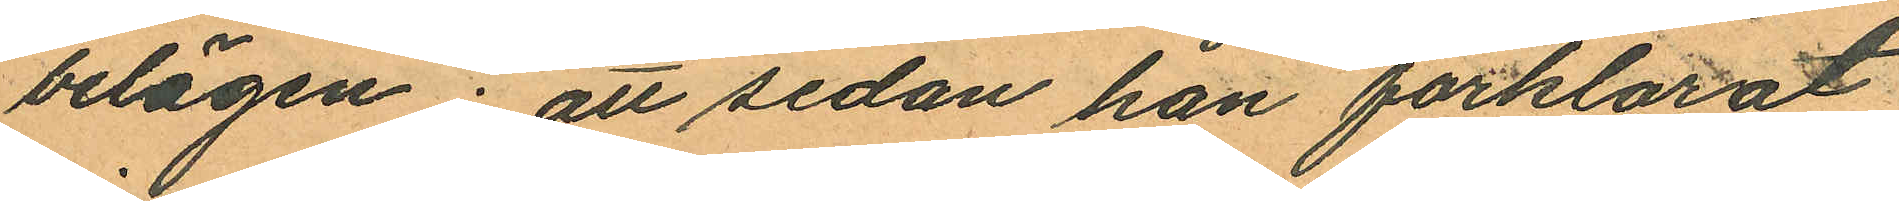belägen; att sedan hon förklarat
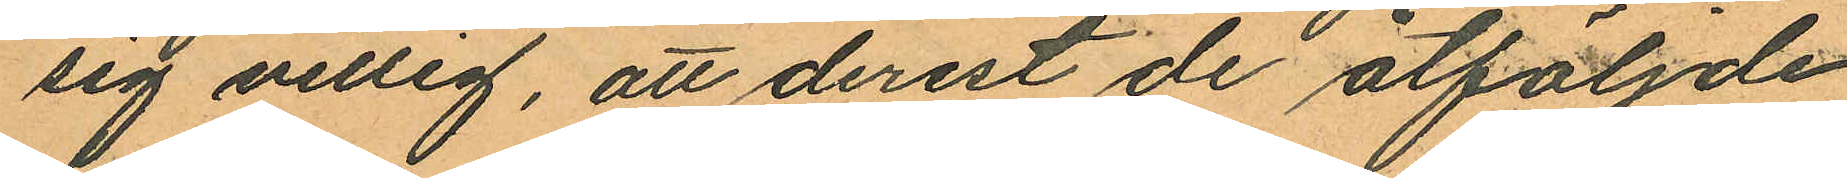sig villig, att derest de åtföljde
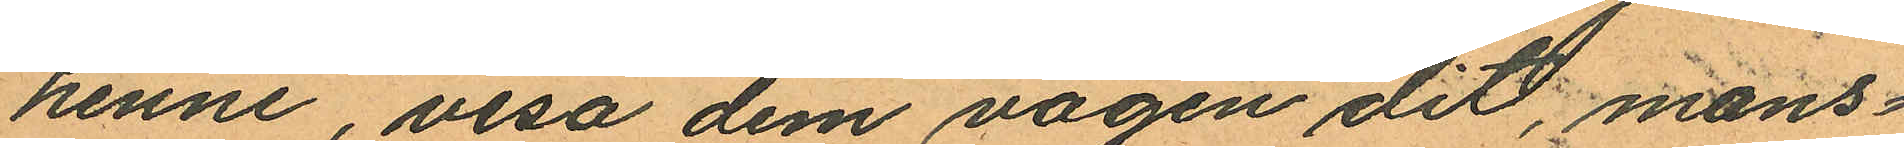henne, visa dem vägen dit, mans¬
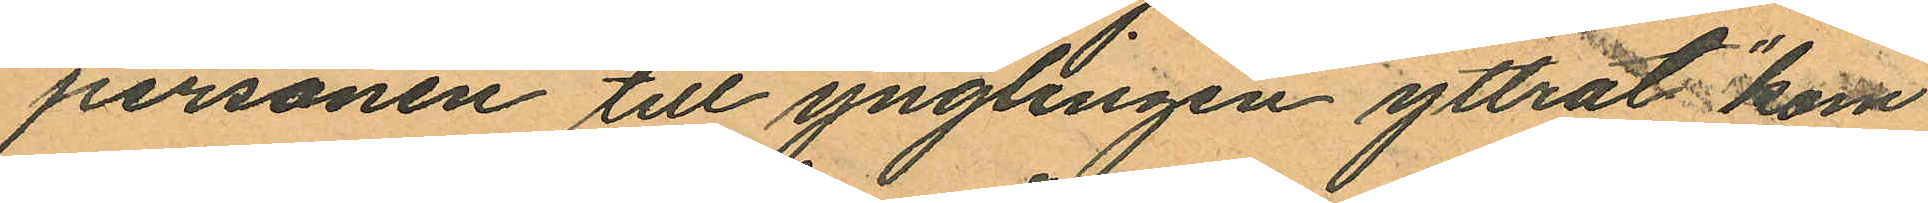personen till ynglingen yttrat "kom
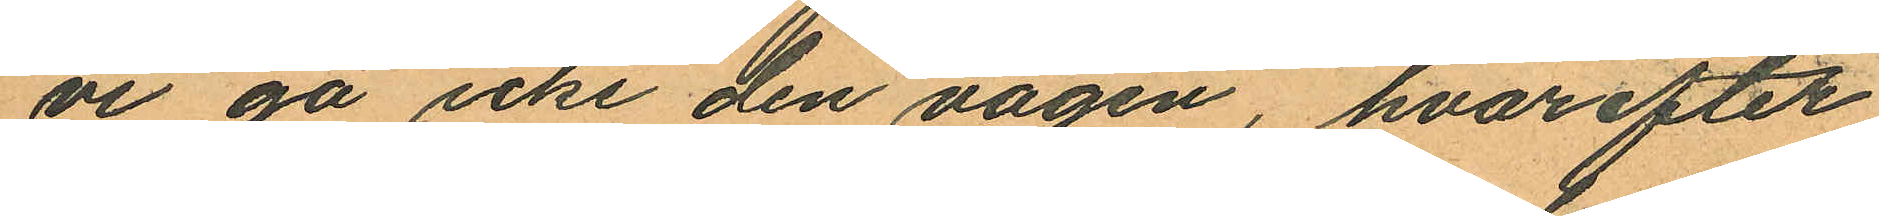vi gå icke den vägen", hvarefter
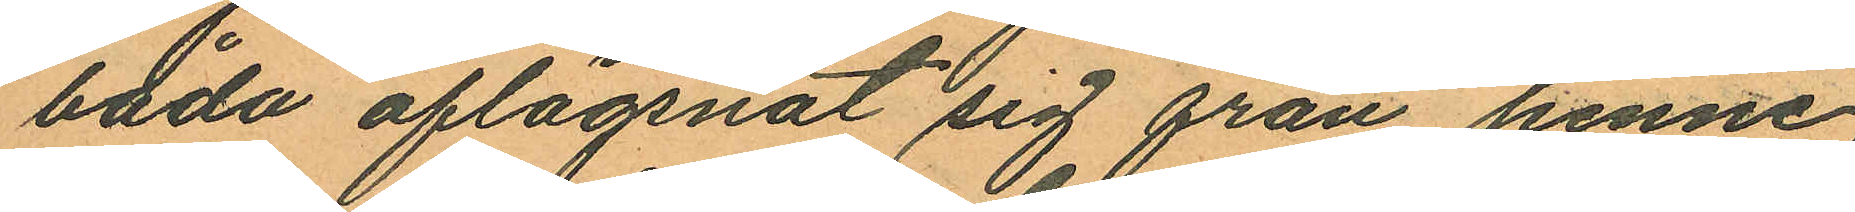båda aflägsnat sig från henne
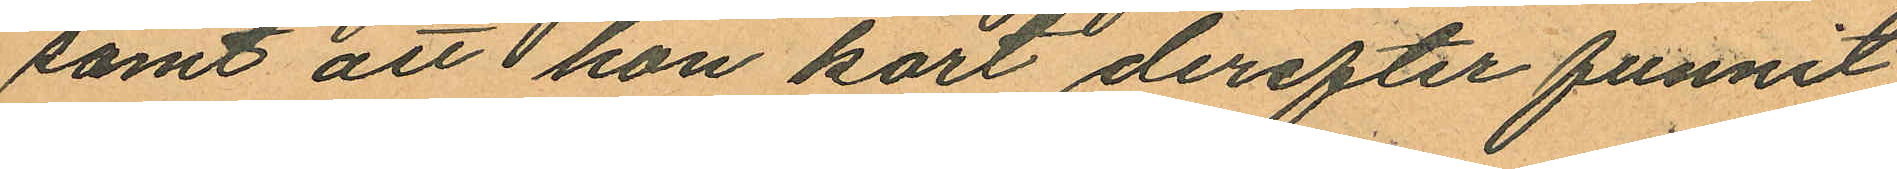samt att hon kort derefter funnit
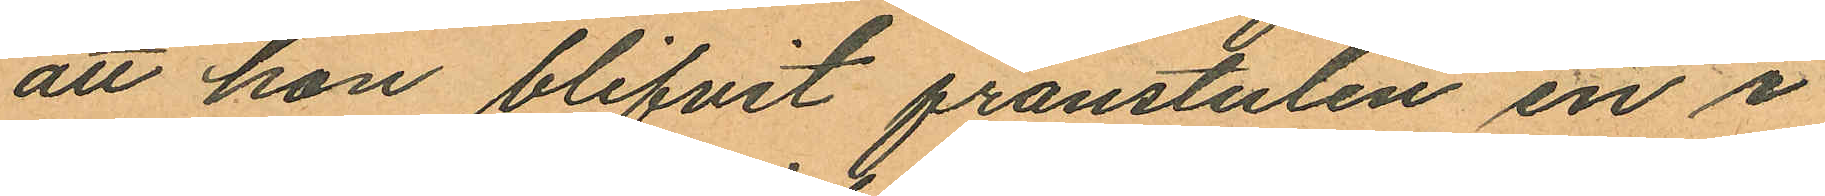att hon blifvit frånstulen en i
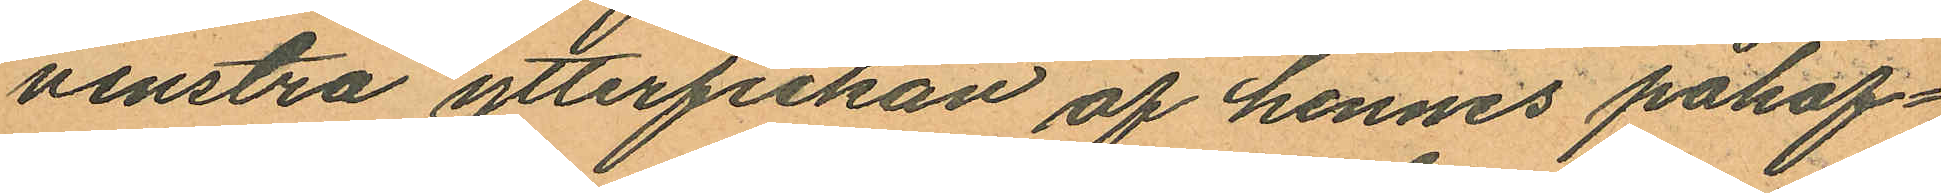venstra ytterfickan af hennes påhaf¬
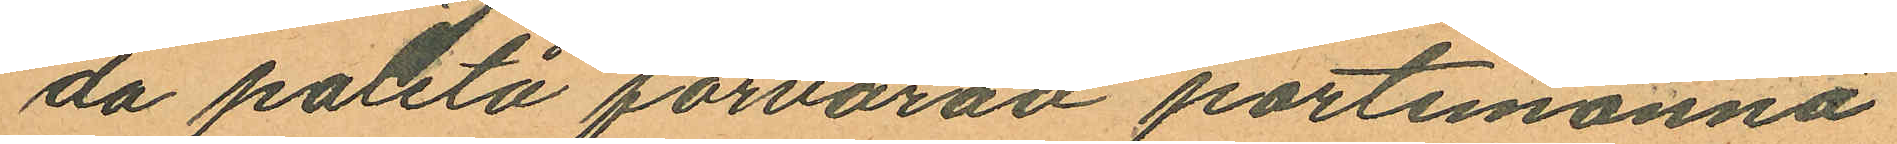da paletå förvarad portemonnä
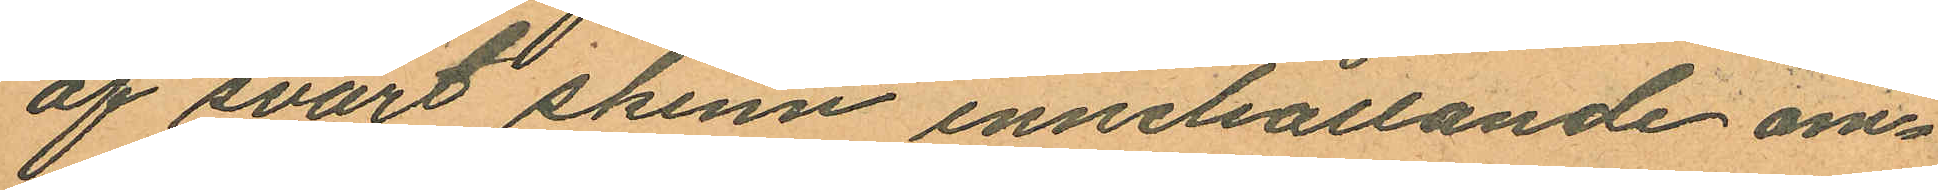af svart skinn innehållande om¬
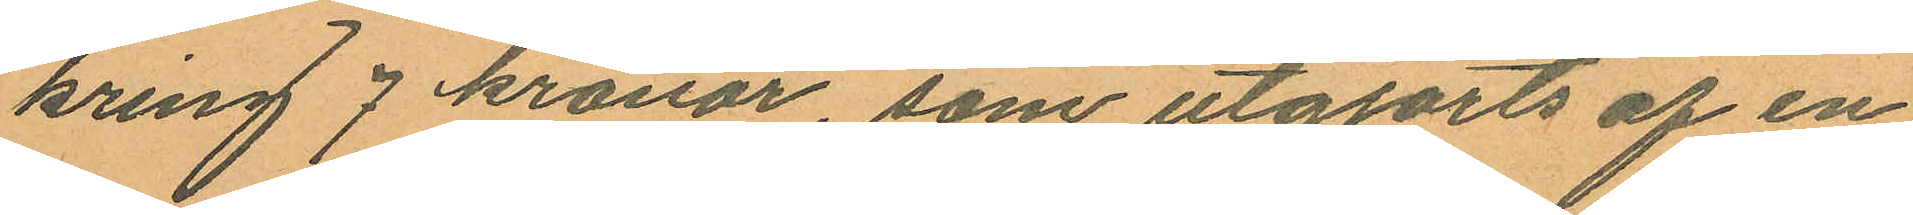kring 7 kronor, som utgjorts af en
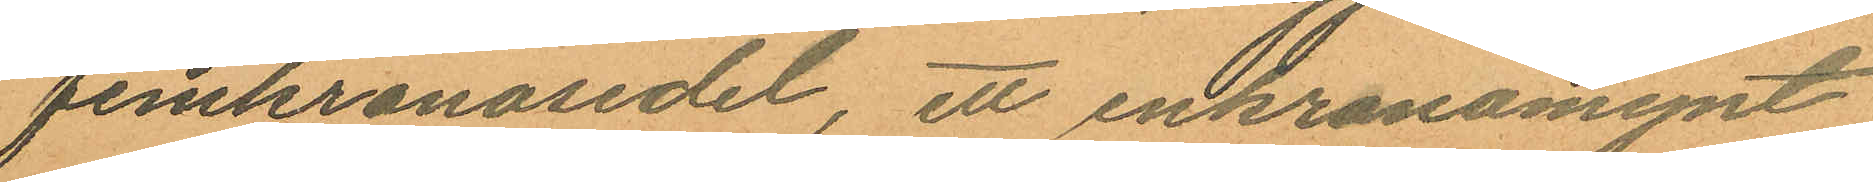femkronosedel, ett enkronomynt
